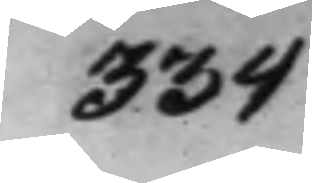334
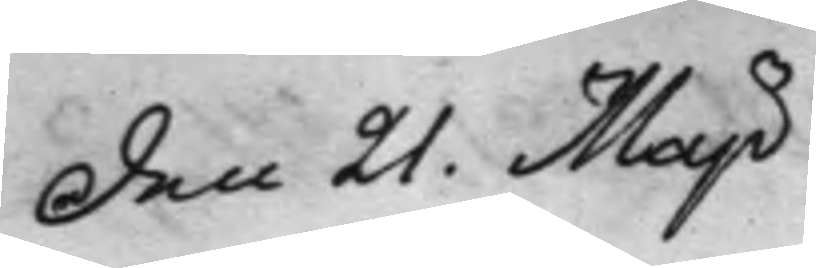Den 21. Maji
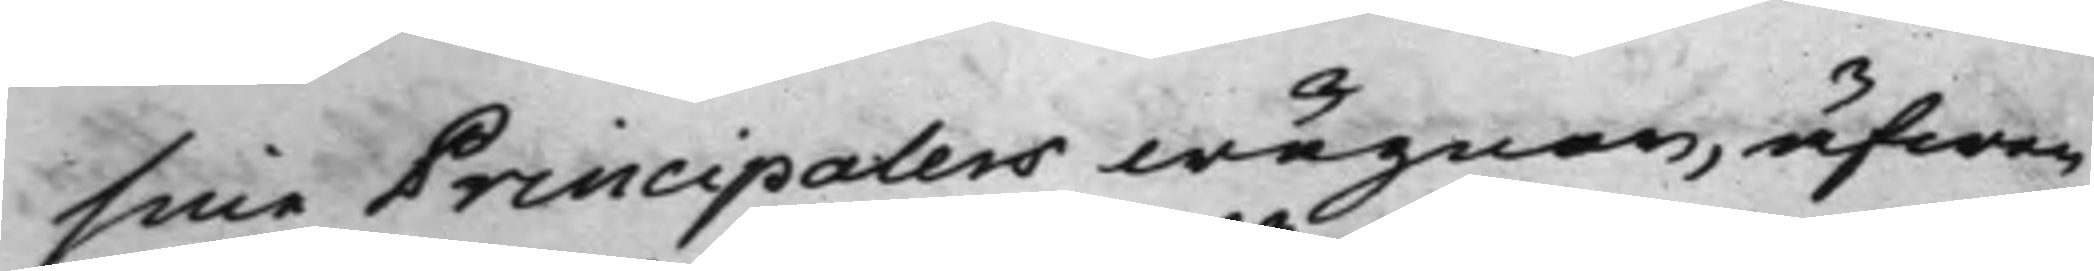sine Principalers wägnar, äfwen
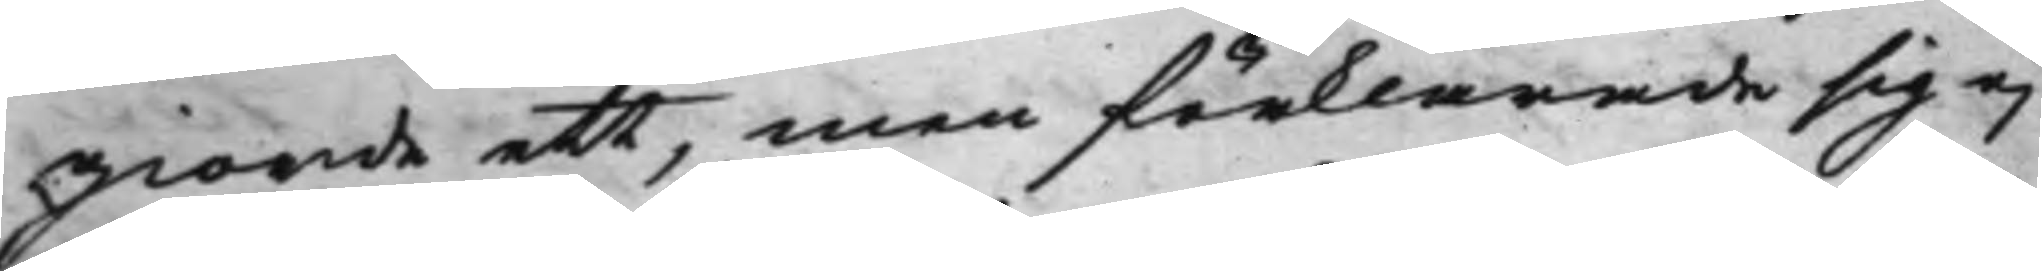giorde ett, men förklarade sig ej
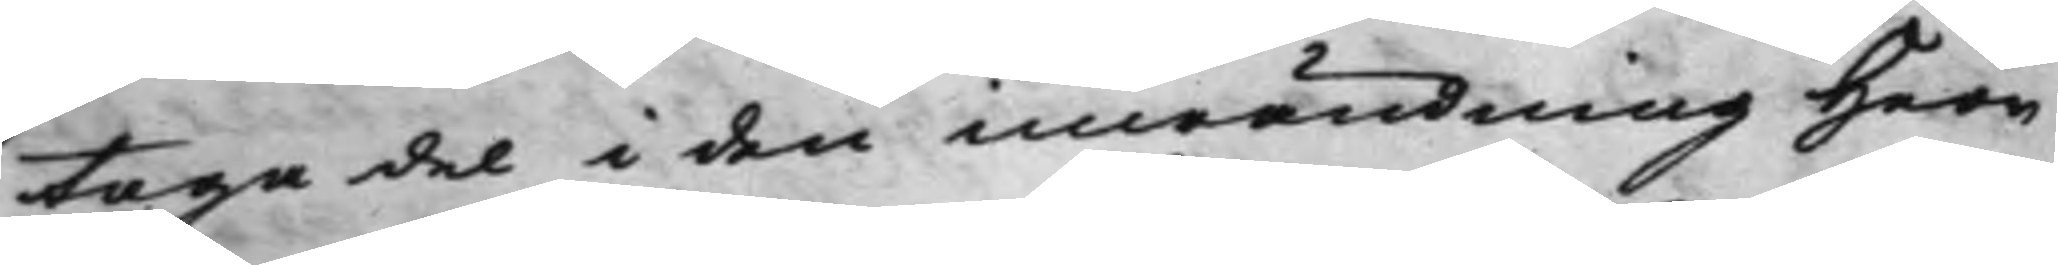taga del i den inwändning Herr
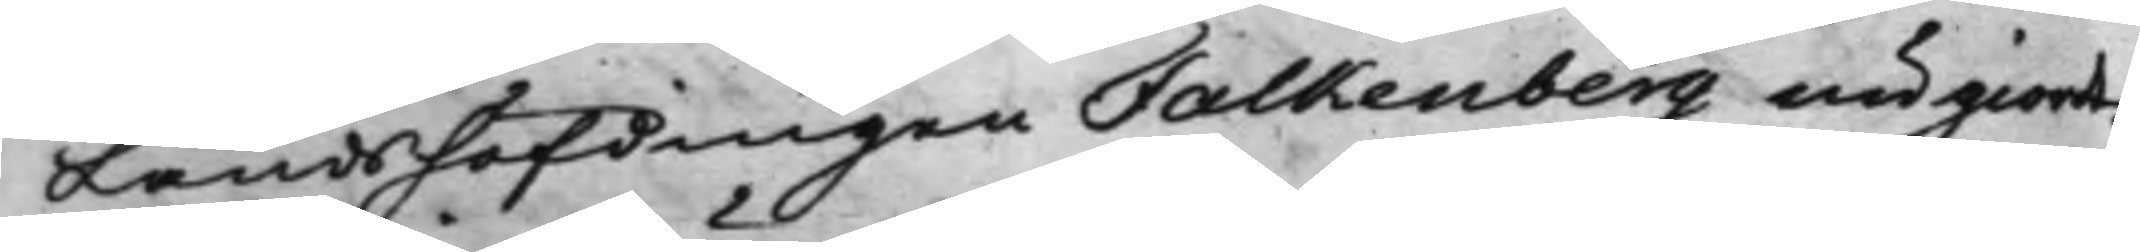Landshöfdingen Falkenberg nu giort.
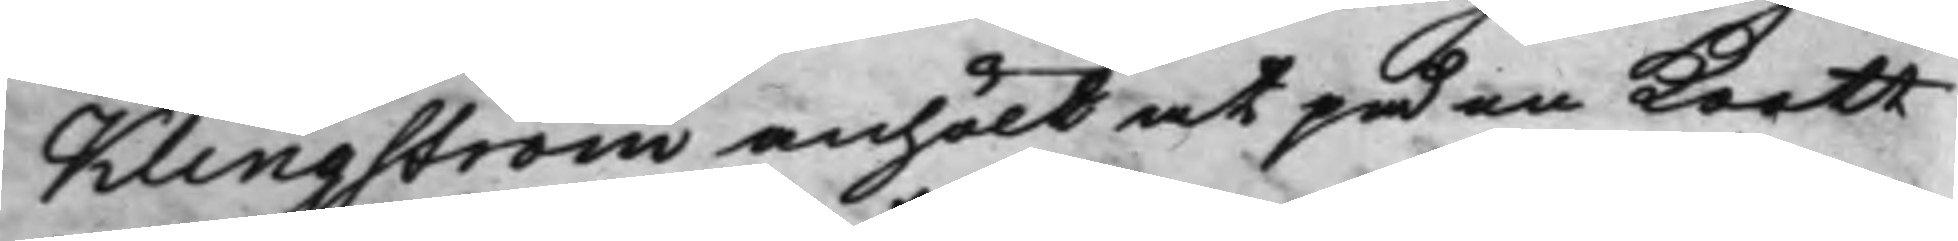Klingström anhölt at på en Kortt
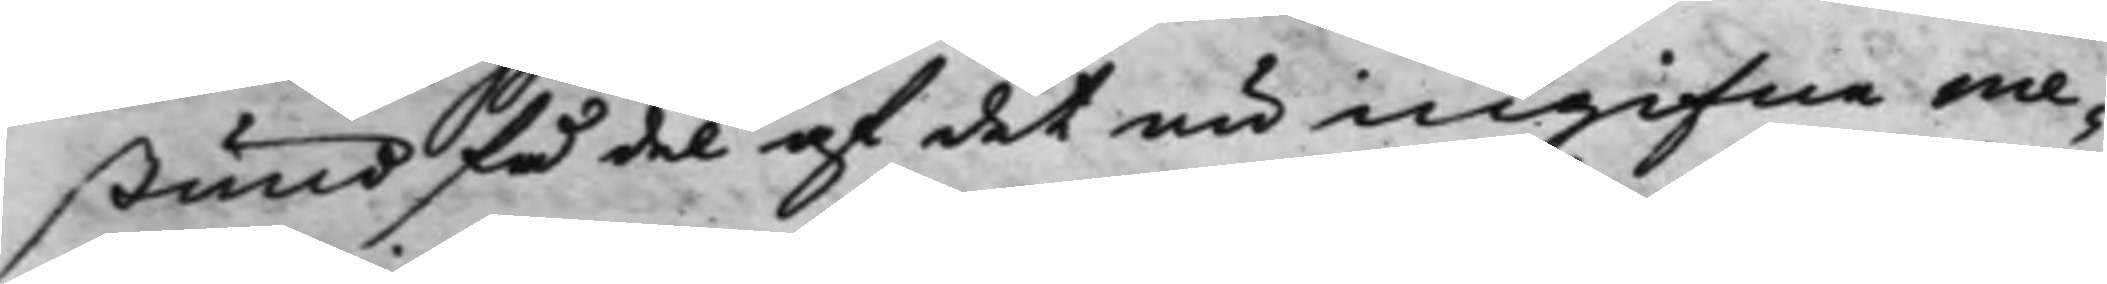stund få del af det nu ingifne me¬
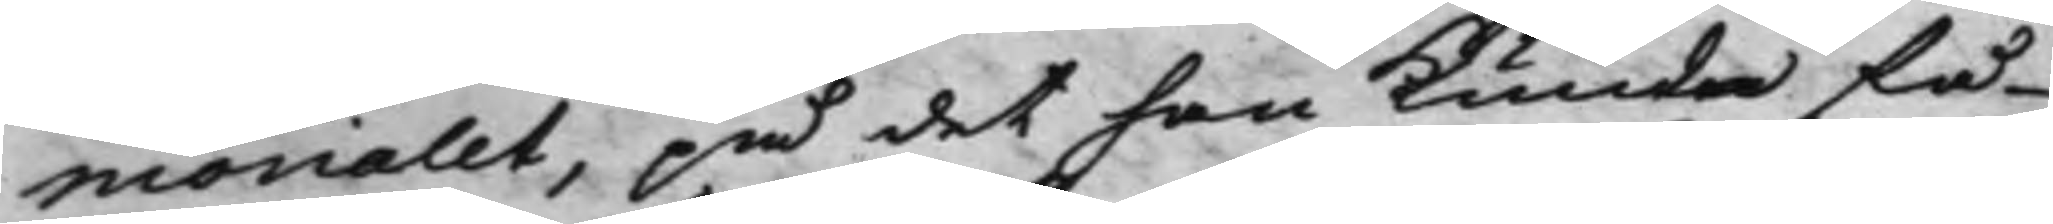morialet, på det han kunde få
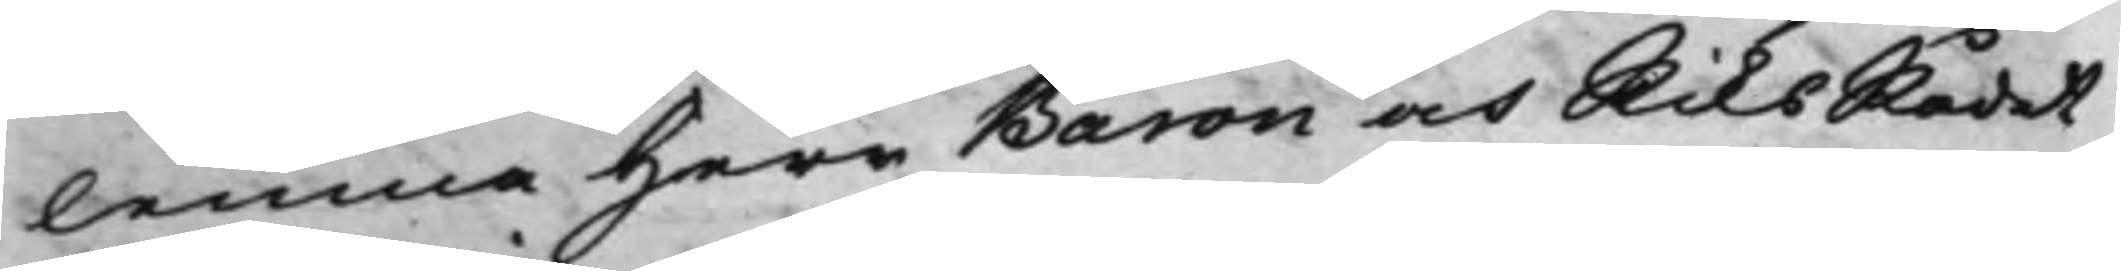lemna Herr Baron och RiksRådet
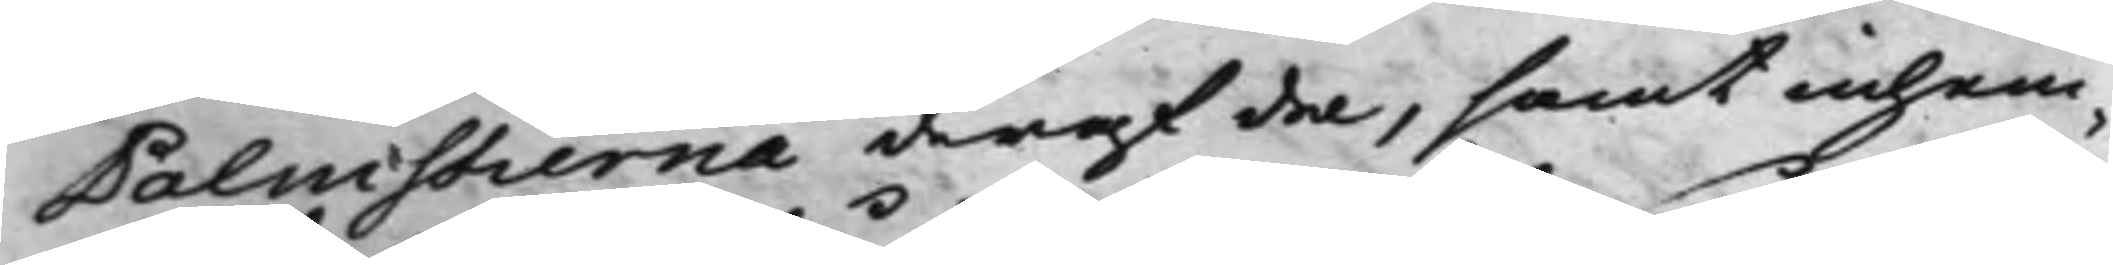Palmstierna deraf del, samt inhem¬
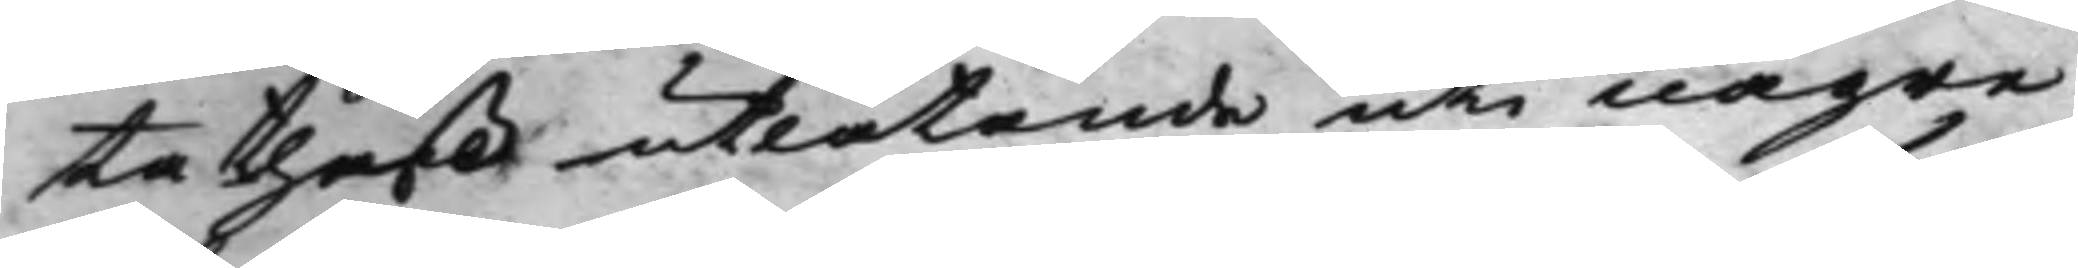ta theß utlåtande uti någre
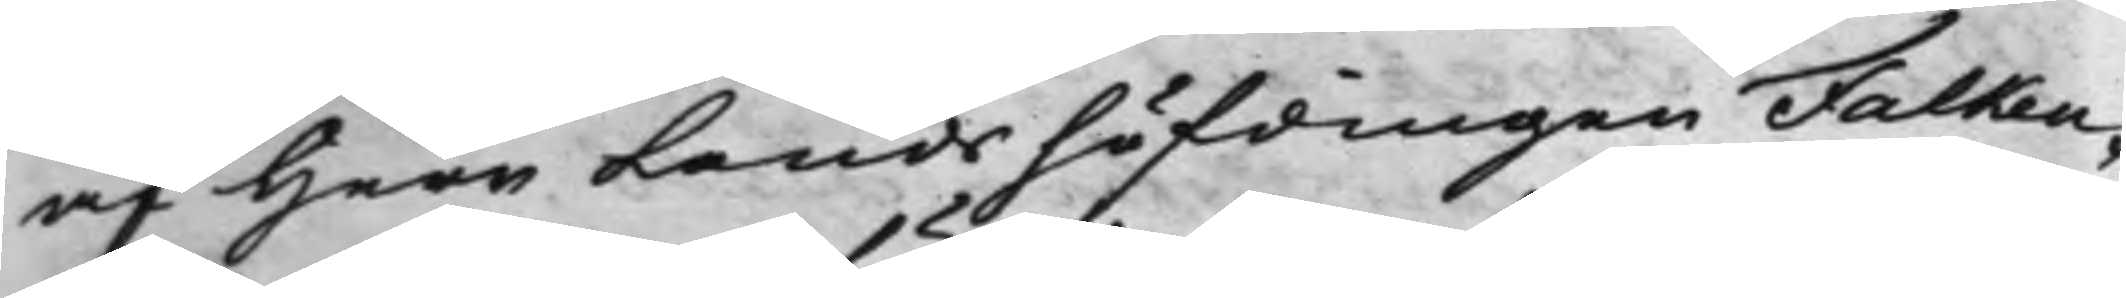af Herr Landshöfdingen Falken¬
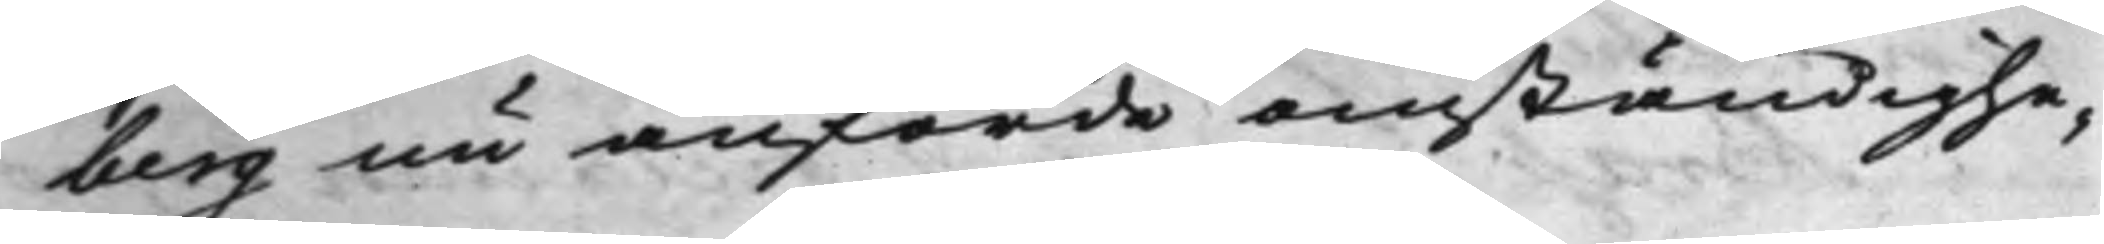berg nu anförde omständighe¬
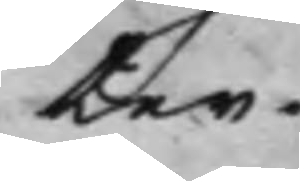ter.
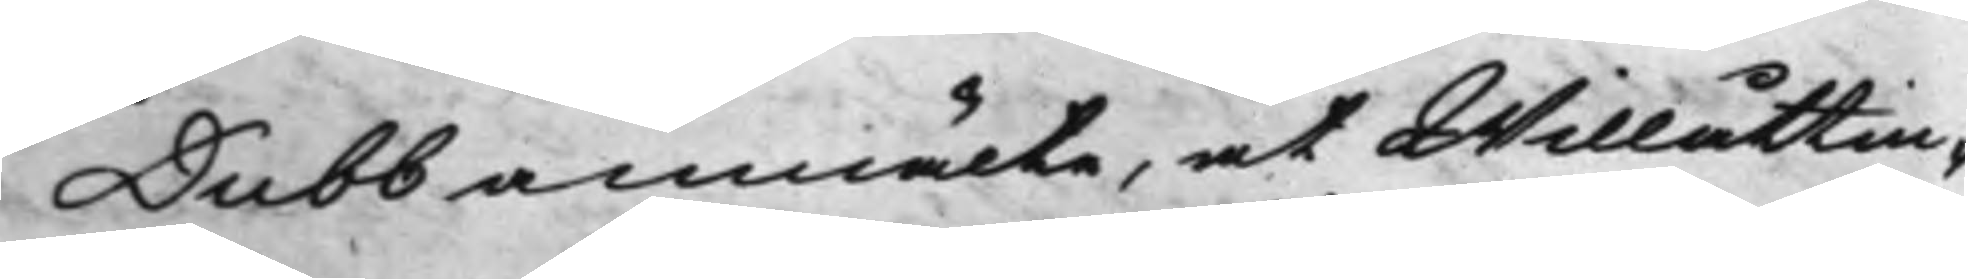Dubb anmälte, at Willåttin¬
